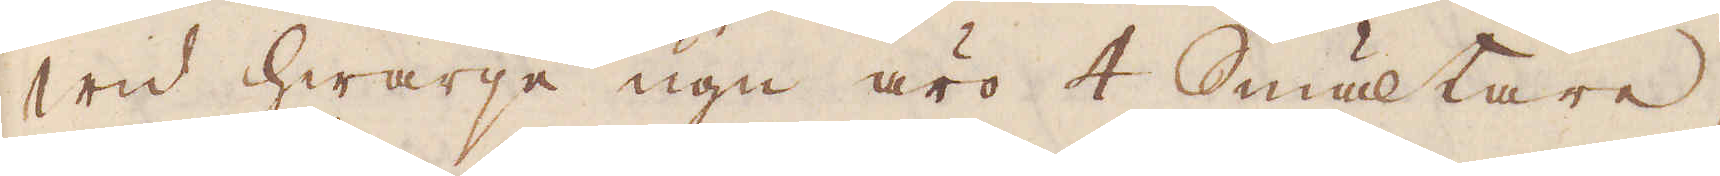Wid hwarje ugn äro 4 Smältare,
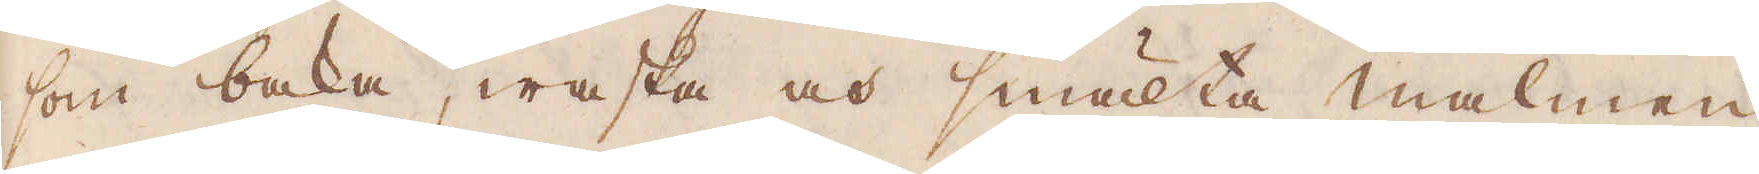som baka, waska och smälta malmen
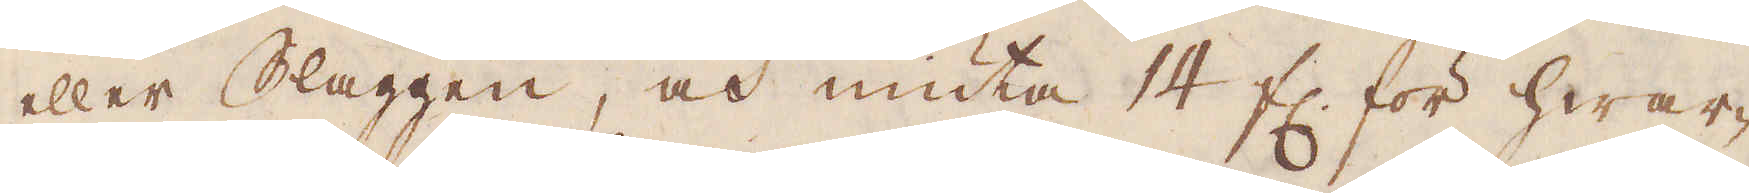eller Slaggen, och niuta 14 fl. för hwar-
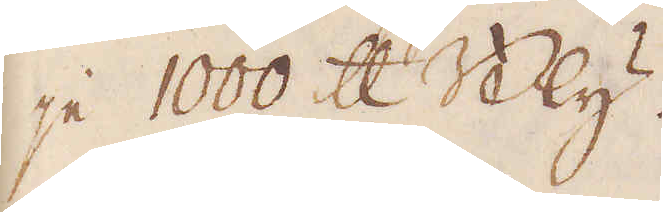je 1000 skålpund Bly.
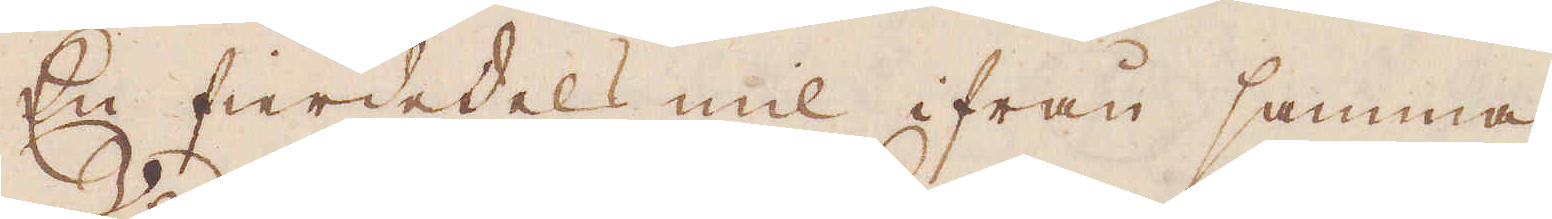En fierdedels mil ifrån samma
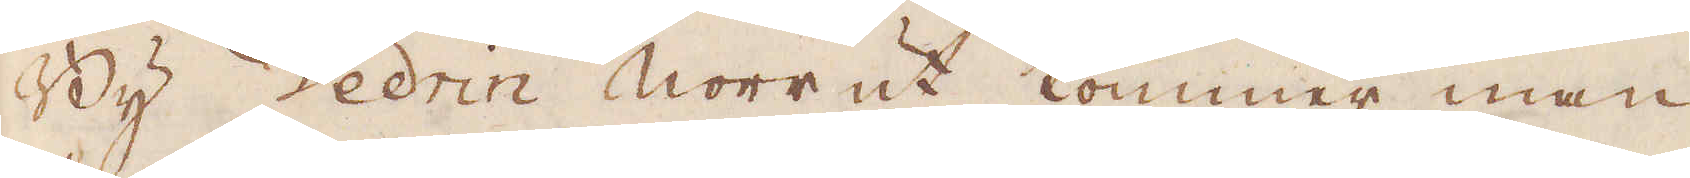By Vedrin norrut kommer man
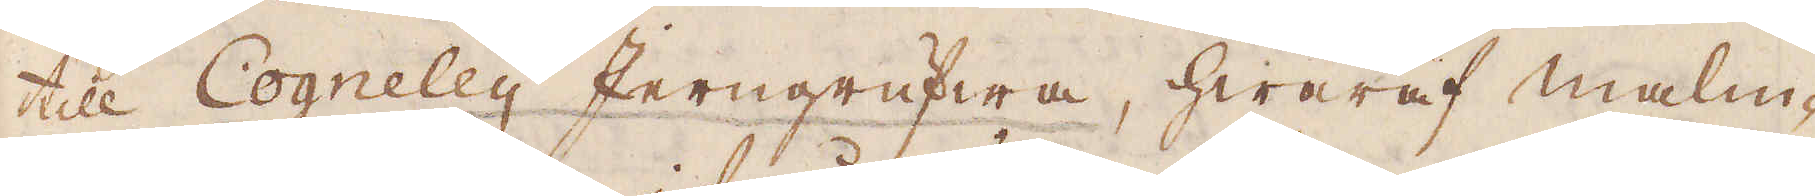till Cogneley Jerngrufwa, hwaraf malm-
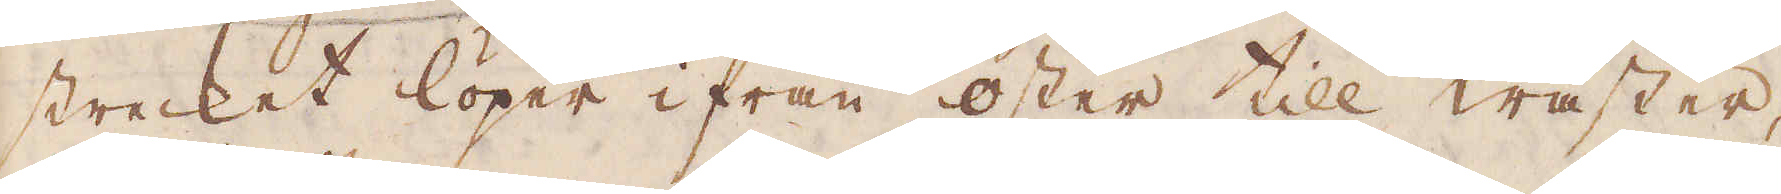strecket löper ifrån öster till wäster,
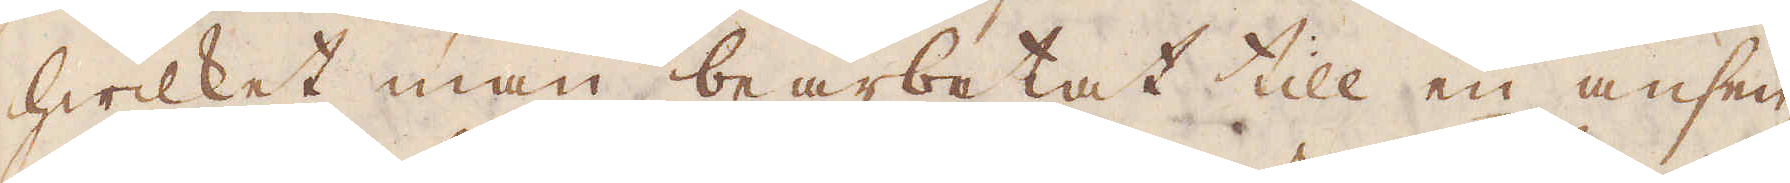hwilket man bearbetat till en ansen-
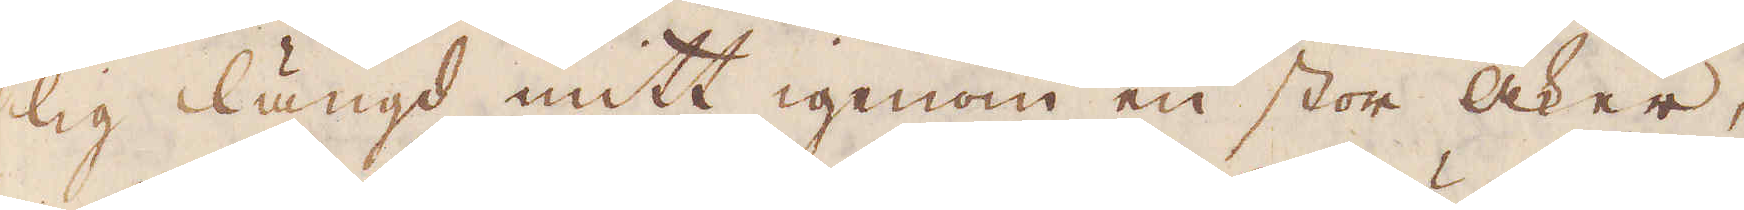lig längd mitt igenom en stor åker,
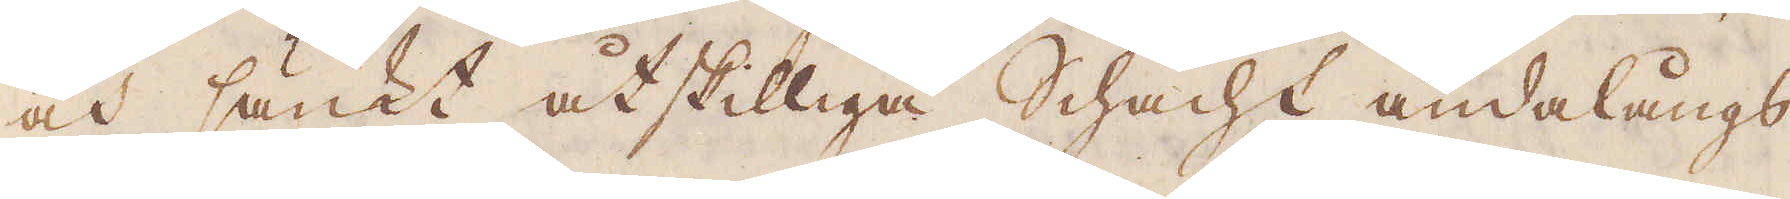och sänkt åtskilliga Schacht ändalångs
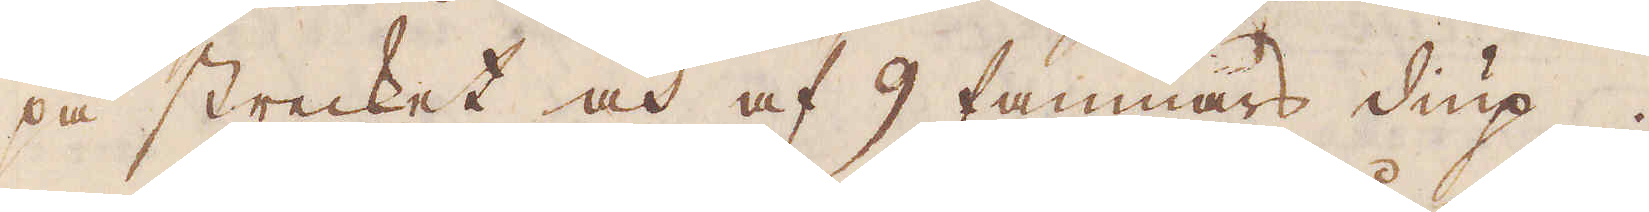på strecket av och af 9 famnars diup.
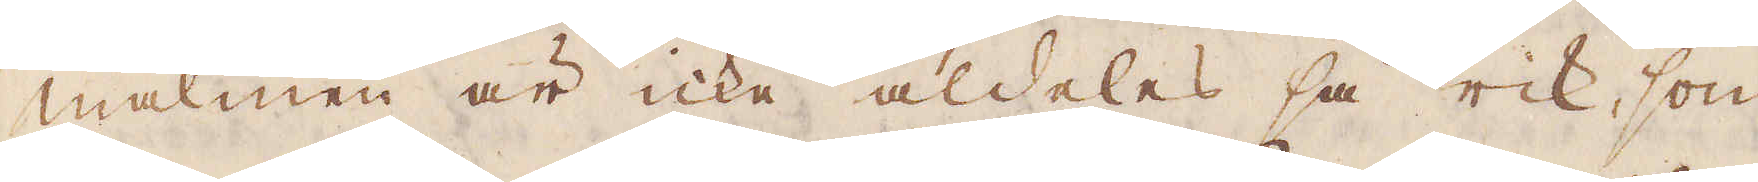malmen är icke aldeles så rik, som
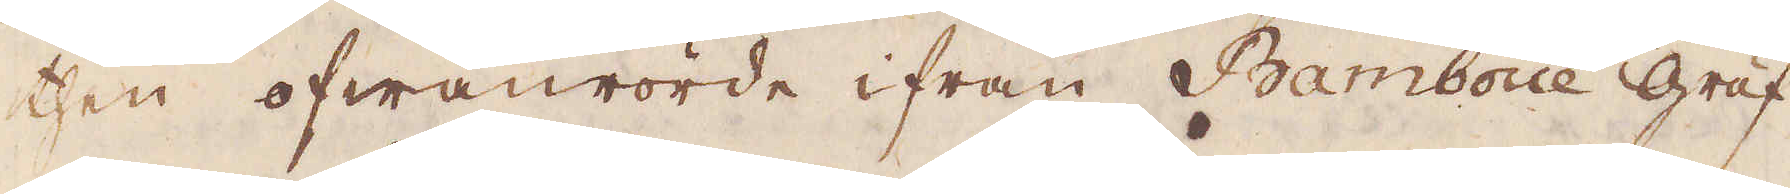then ofwanrörde ifrån Bamboue gruf-
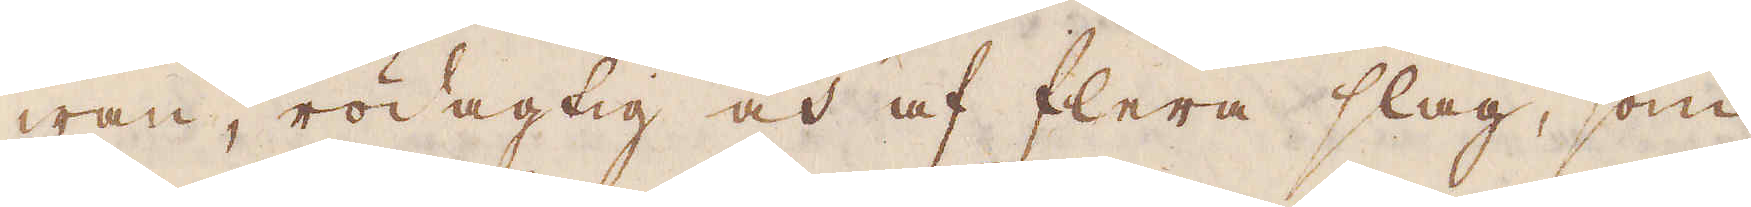wan, rödagtig och af flera slag, som
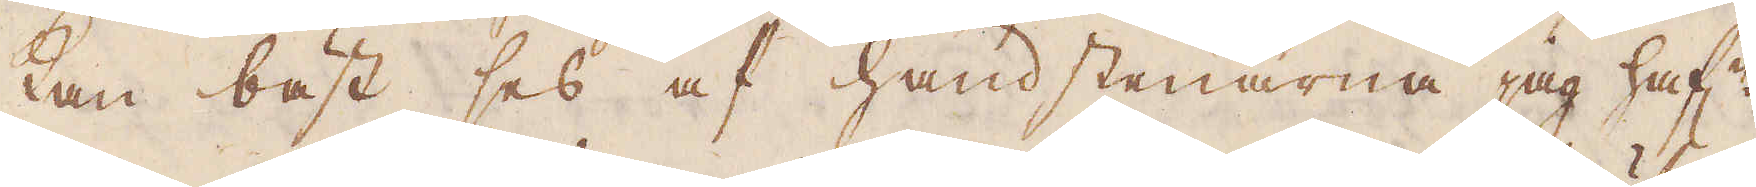kan bäst ses af handstenarna jag haf:e
